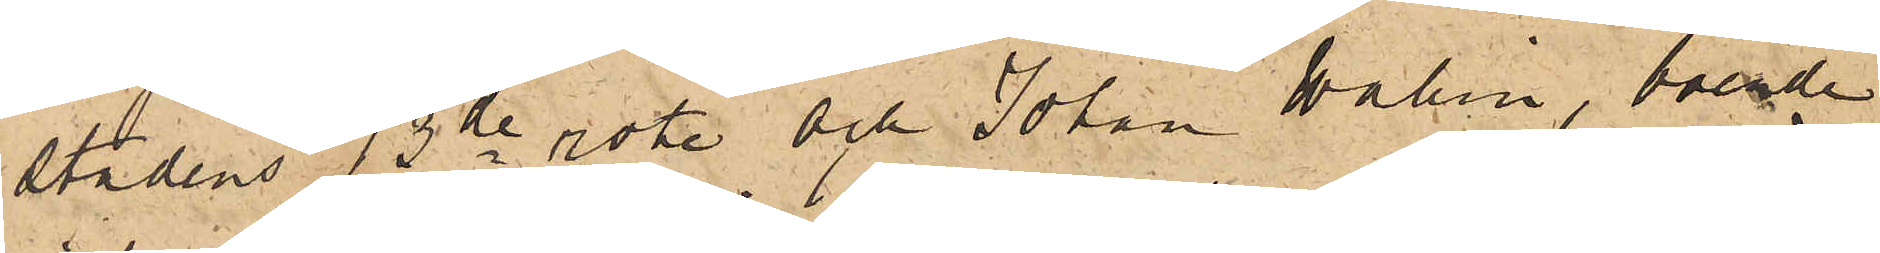stadens 13de rote och Johan Wahlin, boende
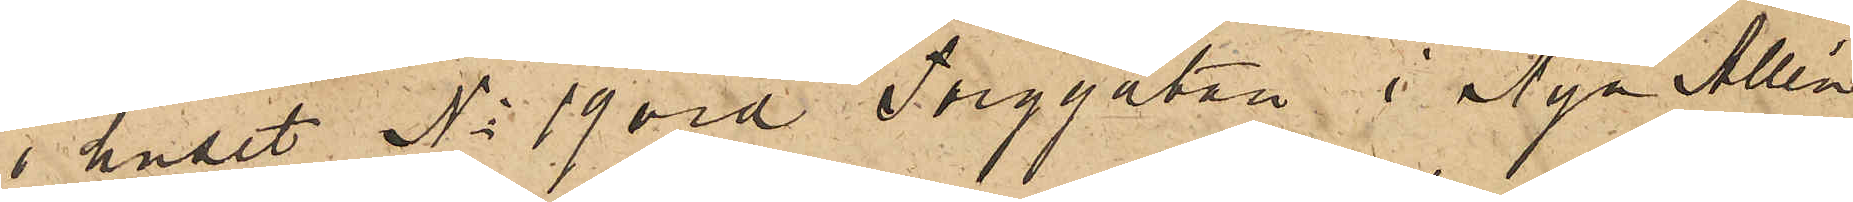i huset No 19 vid Torggatan i Nya Allén
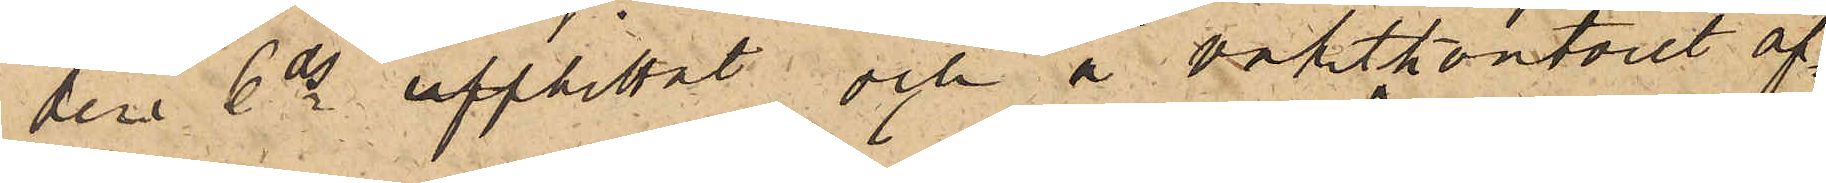den 6 ds upphittat och å vaktkontoret af¬
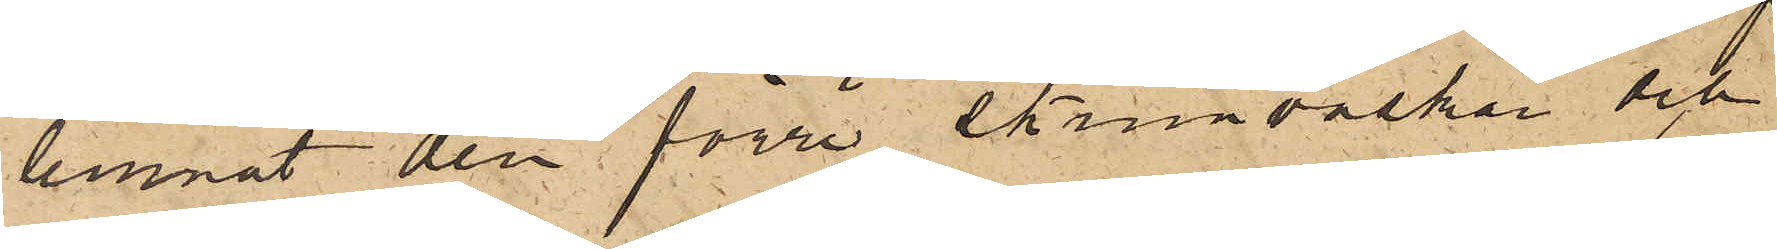lemnat den förre skinnväskan och
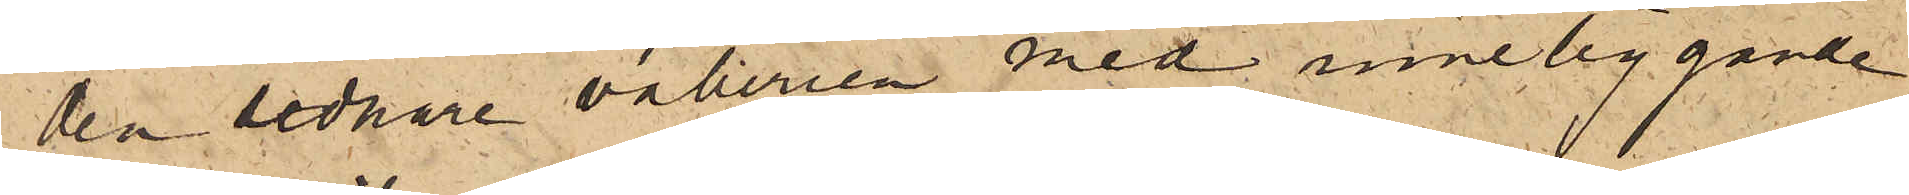den sednare vaberien med inneliggande
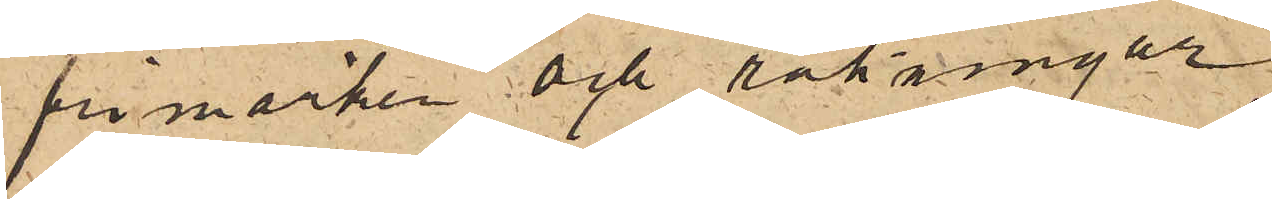frimärken och räkningar.
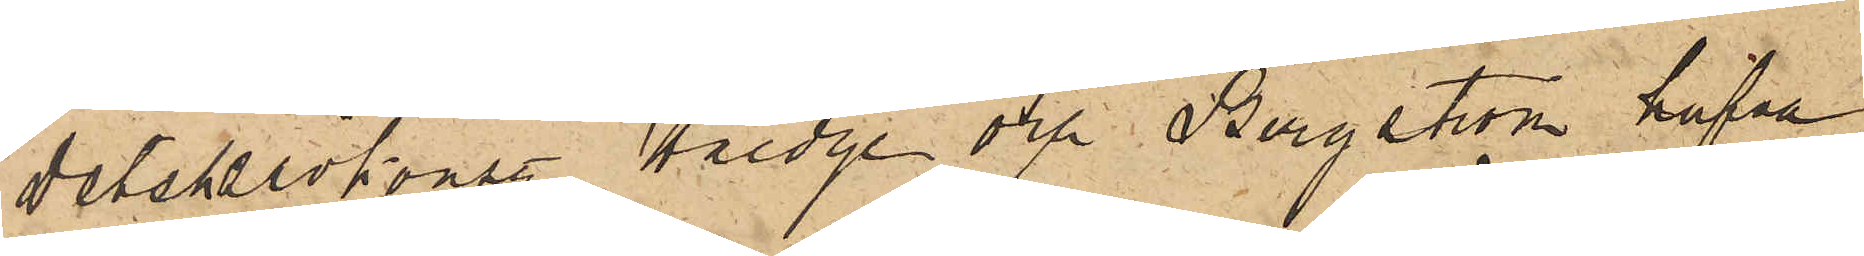Detektivkonstl Hedge och Bergström hafva
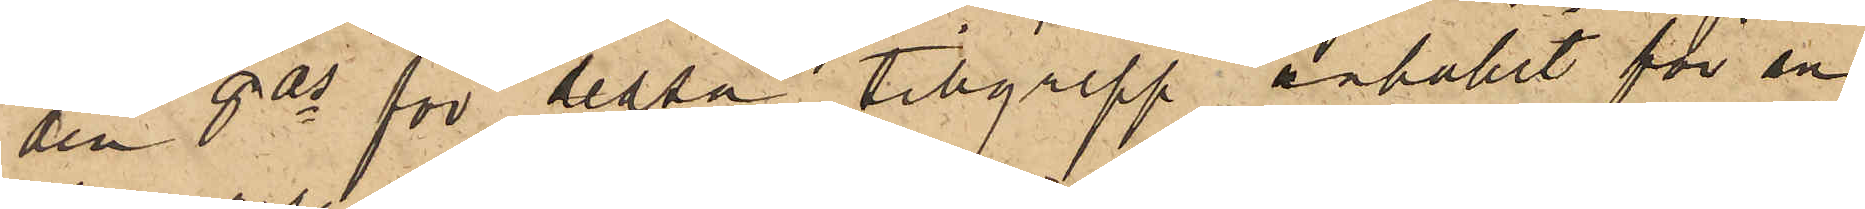den 8 ds för dessa tillgrepp anhållit för an¬
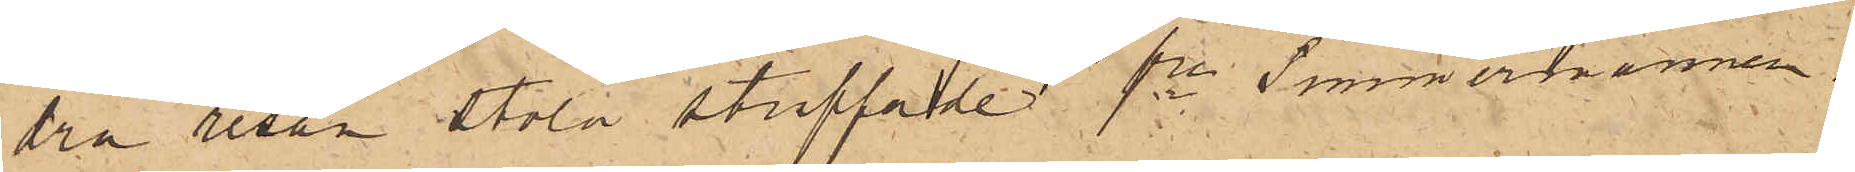dra resan stöld straffade fe Timmermannen.
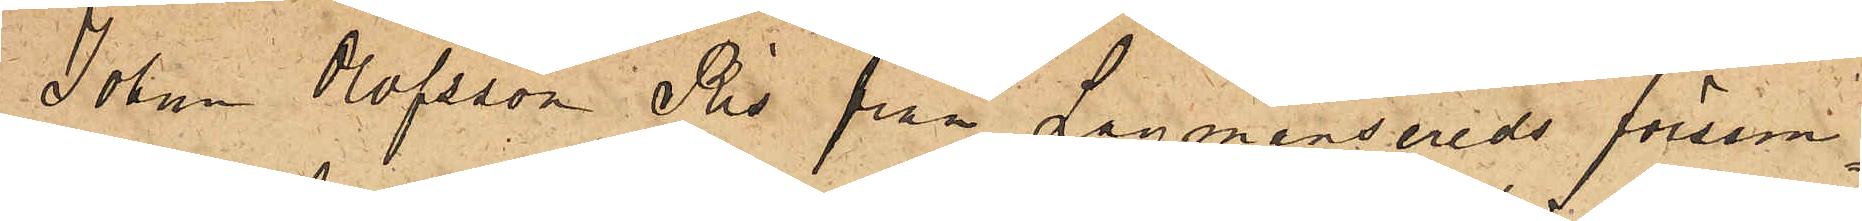Johan Olofsson Ris från Lagmansereds försam¬
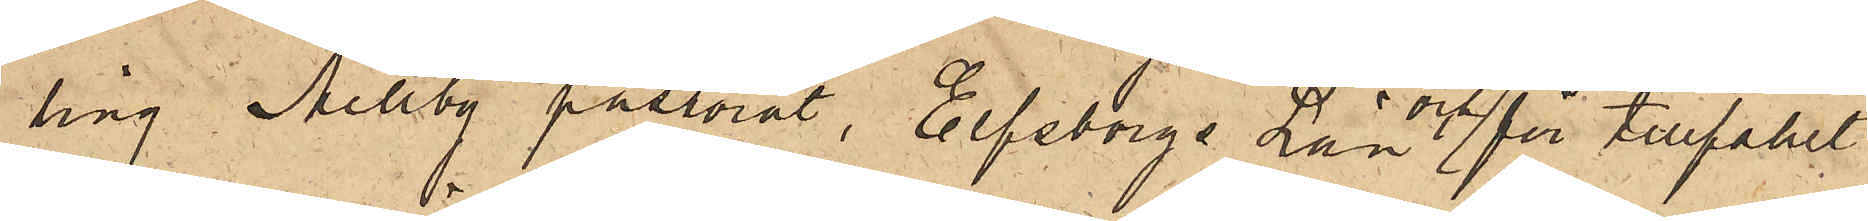ling Mellby pastorat, Elfsborgs Län och för tillfället
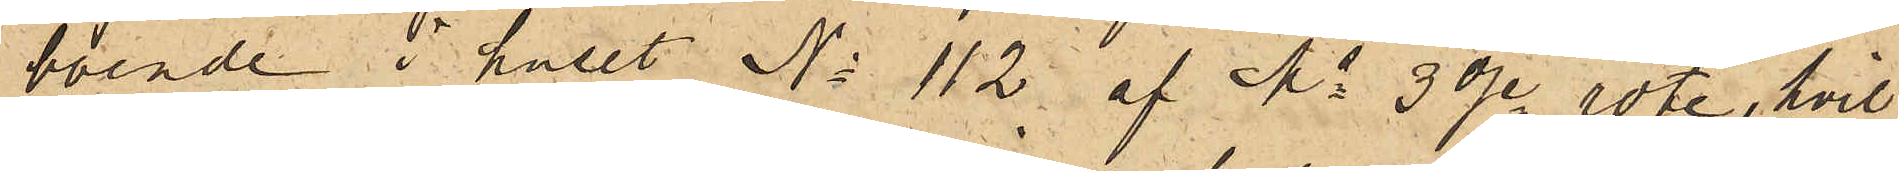boende i huset No 112 af Ms 3dje rote, hvil¬
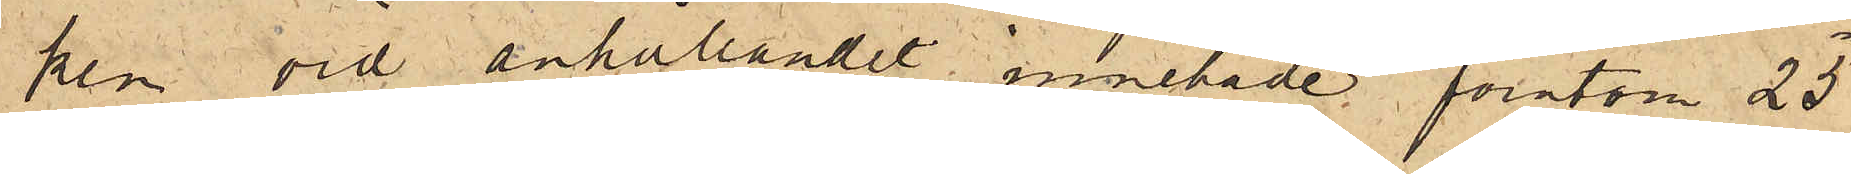ken vid anhållandet innehade förutom 25
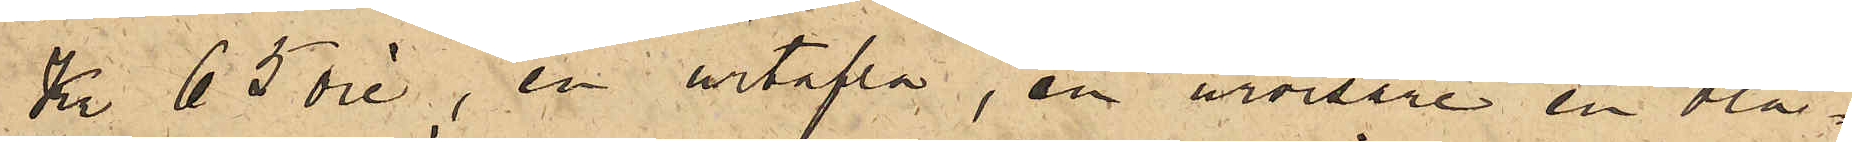Kr 65 öre, en urtafla, en urvisare en blå¬
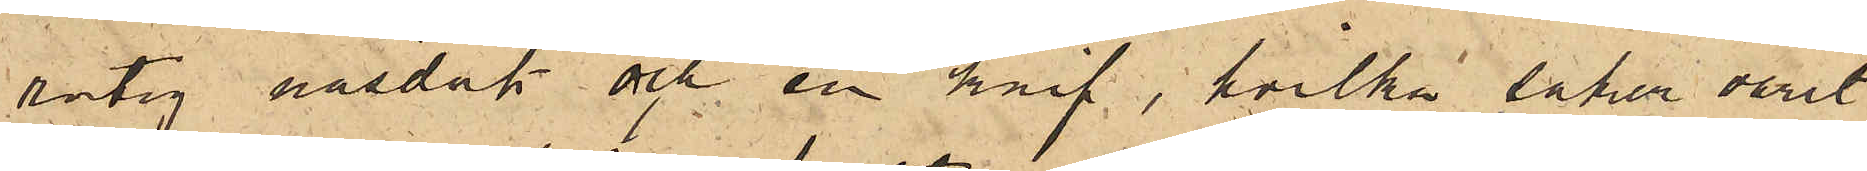rutig näsduk och en knif, hvilka saker varit
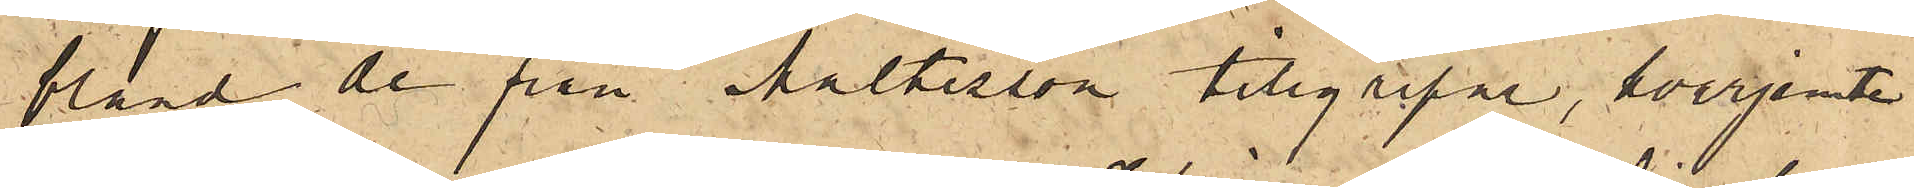bland de från Maltesson tillgripne, hvarjemte
